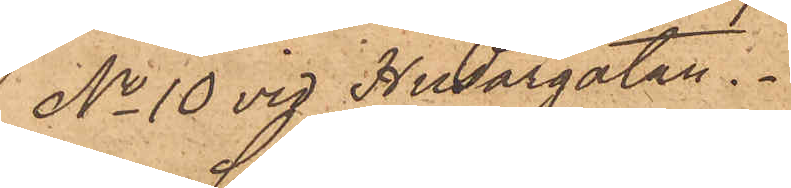No 10 vid Husargatan.
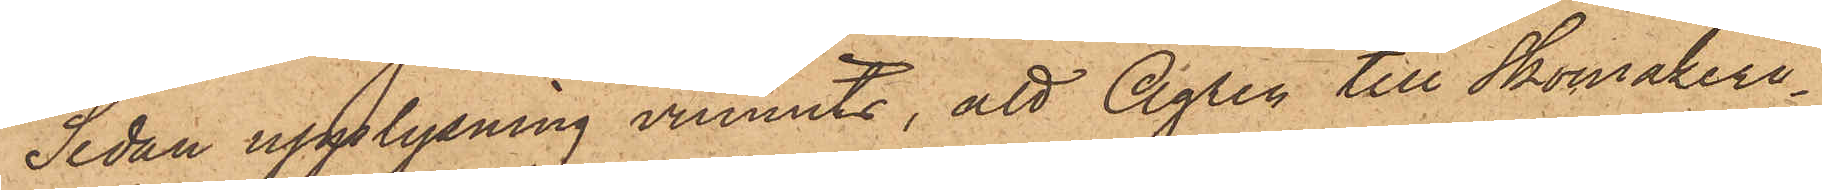Sedan upplysning vunnits, att Ågren till Skomakeri¬
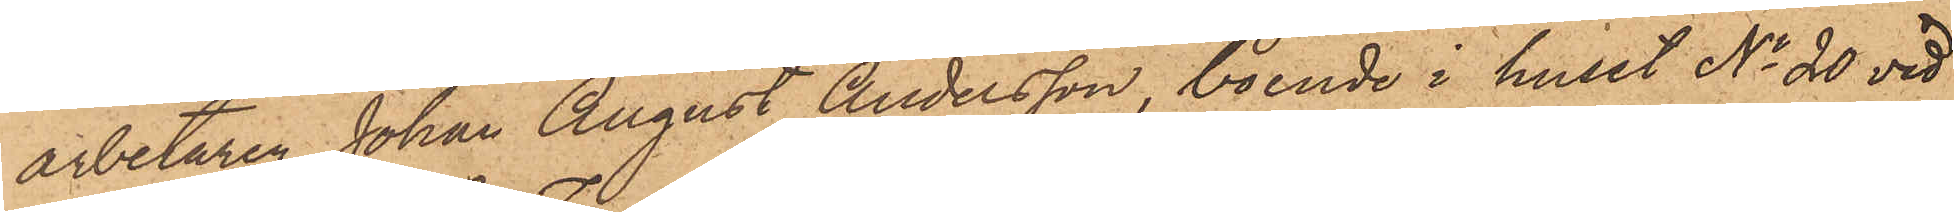arbetaren Johan August Andersson, boende i huset No 20 vid
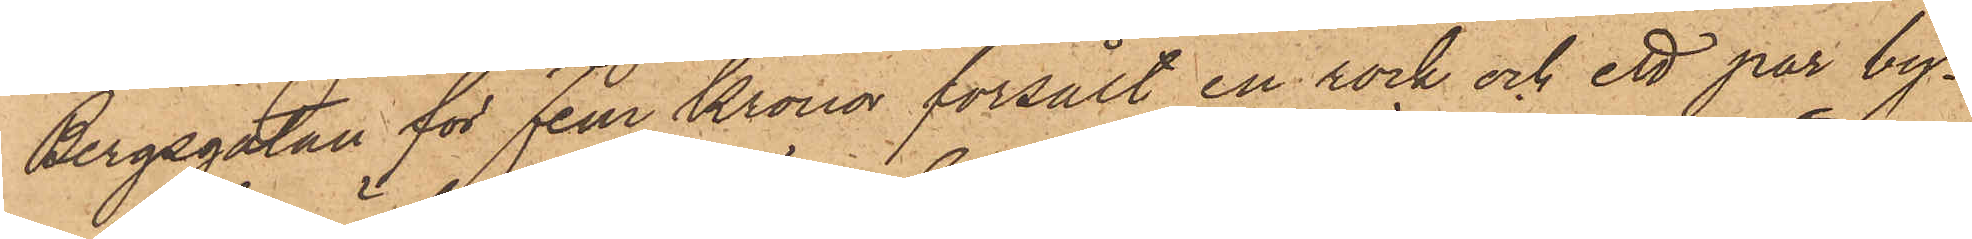Bergsgatan för fem Kronor försålt en rock och ett par by¬
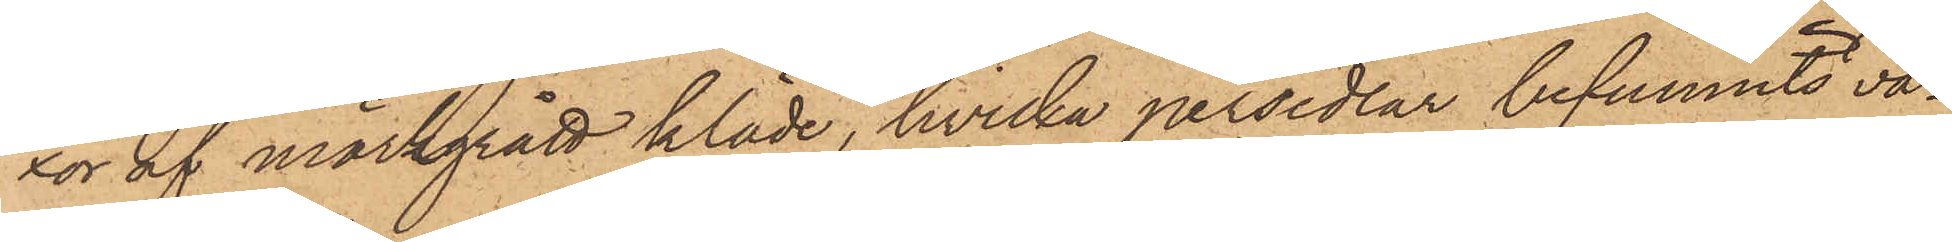xor af mörkgrått kläde, hvilka persedlar befunnits va¬
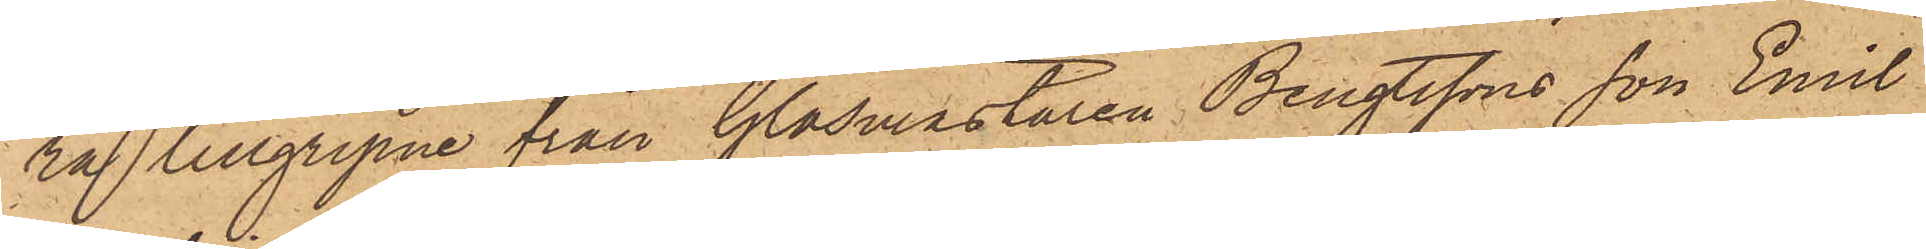ra tillgripne från Glasmästaren Bengtssons son Emil
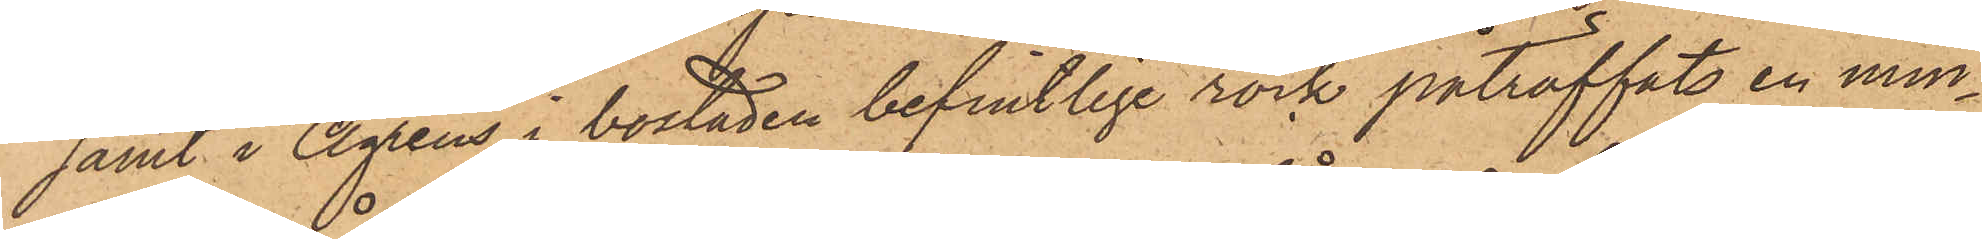samt i Ågrens i bostaden befintlige rock påträffats en min¬
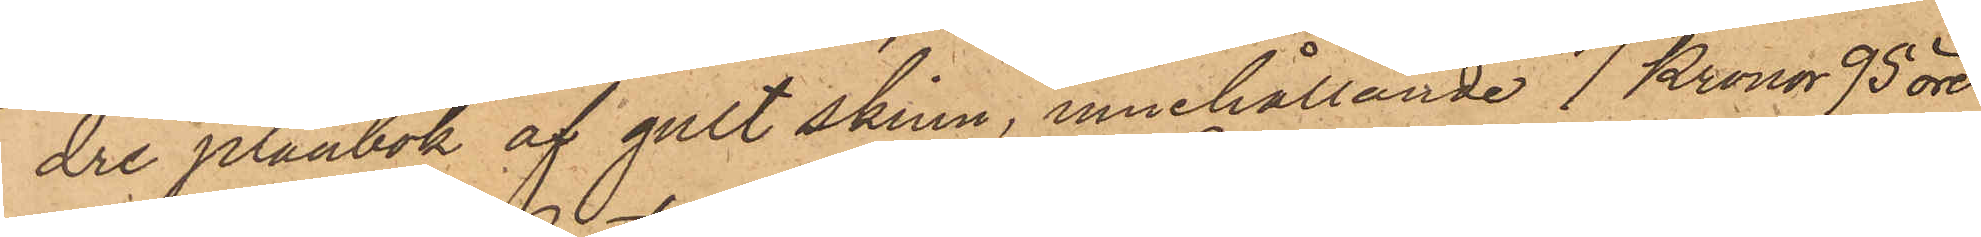dre plånbok af gult skinn, innehållande 7 Kronor 95 öre
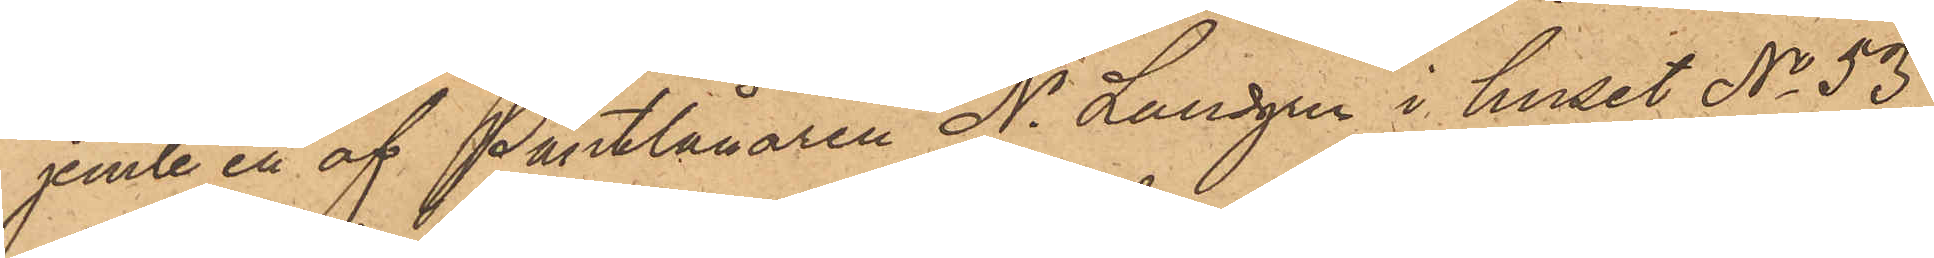jemte en af Pantlånaren N. Lundgren i huset No 53
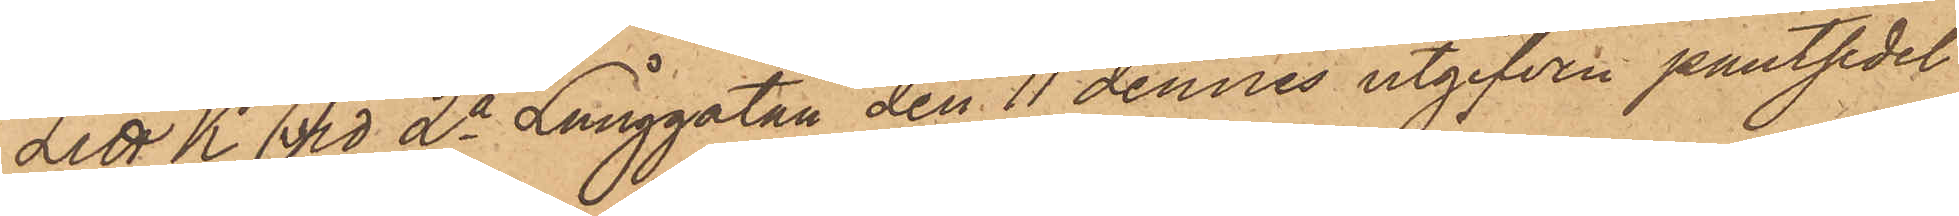Litt K. vid 2a Långgatan den 11 dennes utgifven pantsedel
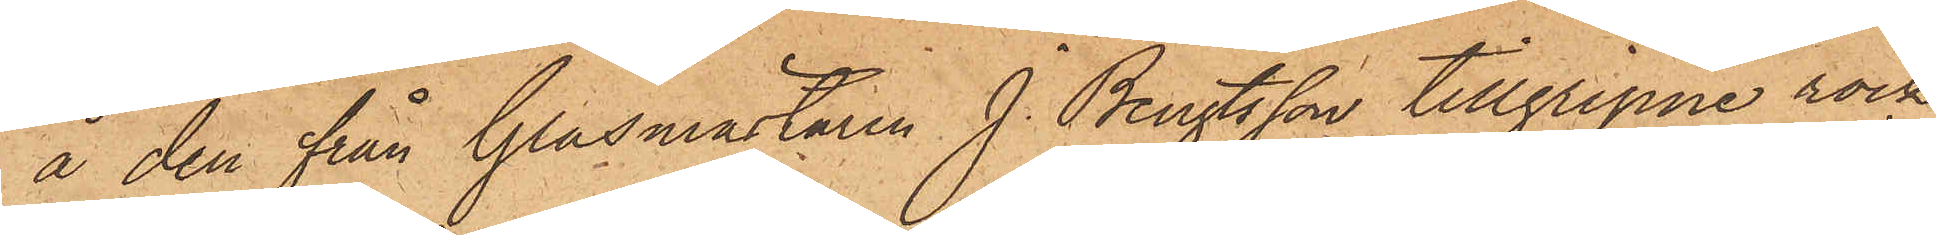å den från Glasmästaren J. Bengtsson tillgripne rock
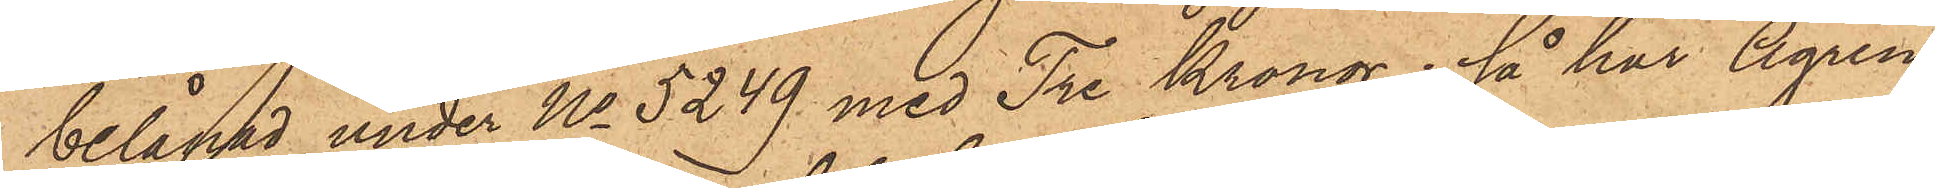belånad under No 5249 med Tre Kronor; så har Ågren
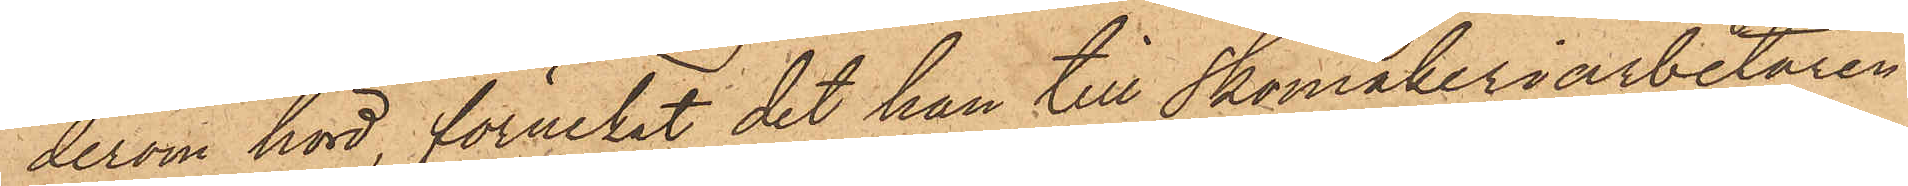derom hörd, förnekat det han till Skomakeriarbetaren
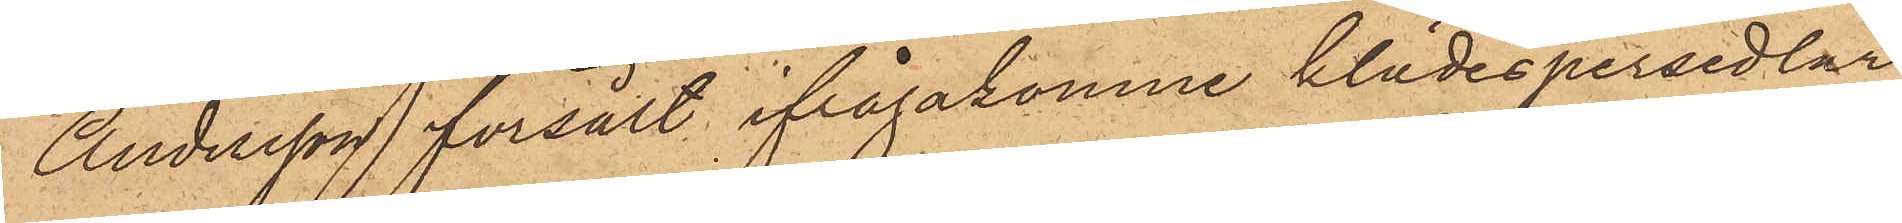Andersson försålt ifrågakomne klädespersedlar
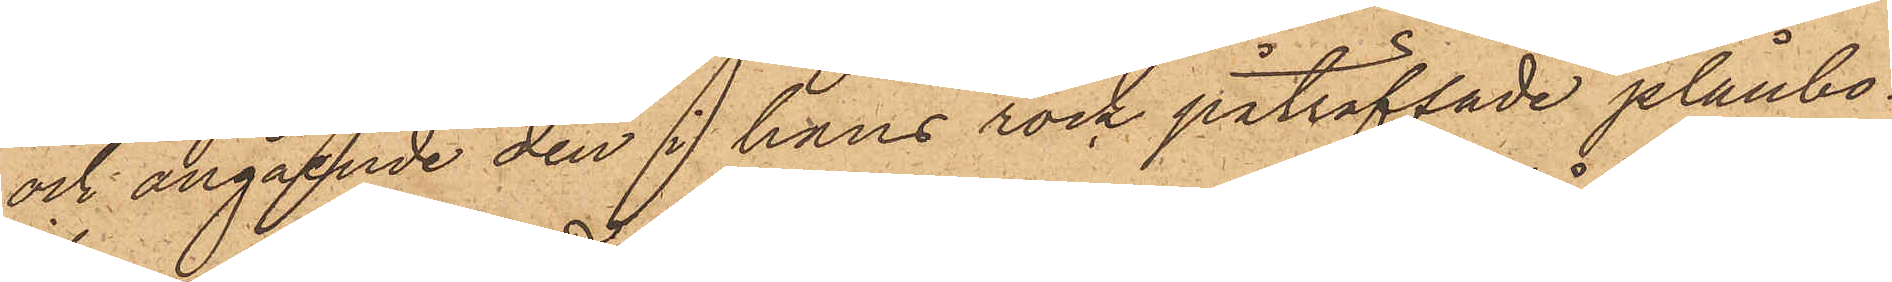och angående den i hans rock påträffade plånbo¬
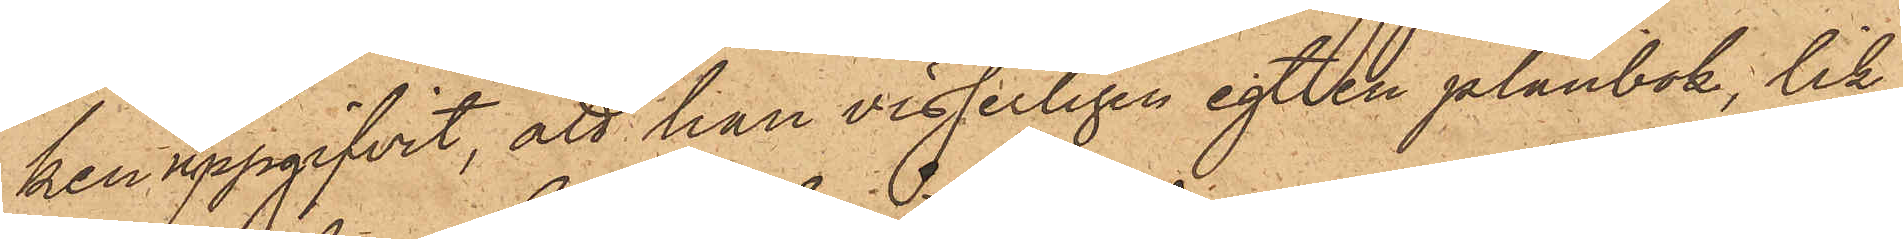ken uppgifvit, att han visserligen egt en plånbok, lik¬
